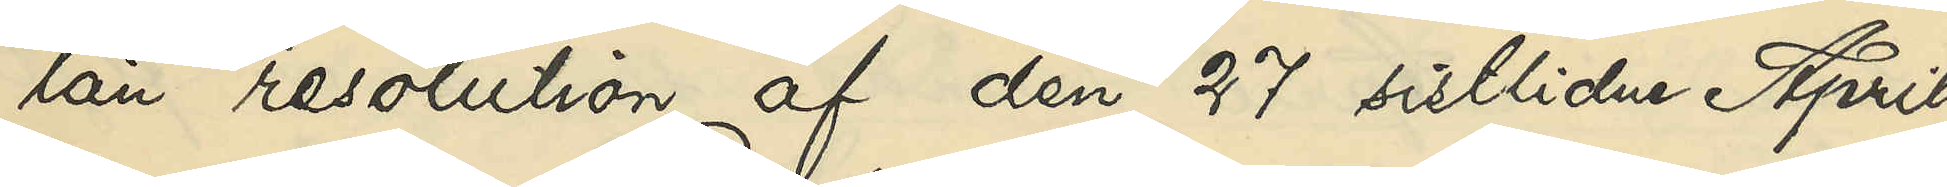län resolution af den 27 sistlidne April,
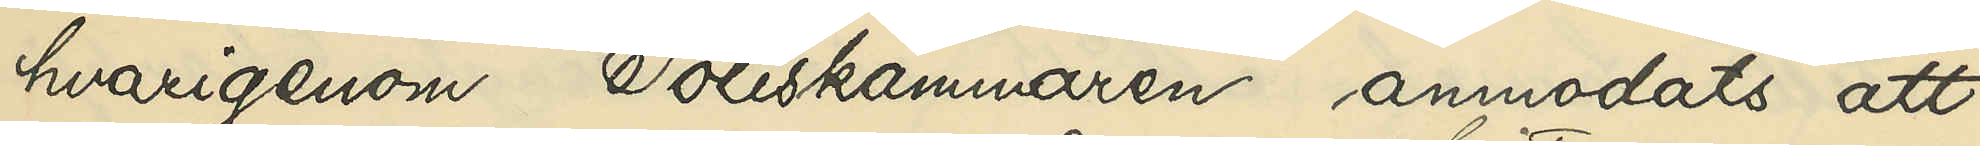havrigenom Poliskammaren anmodats att
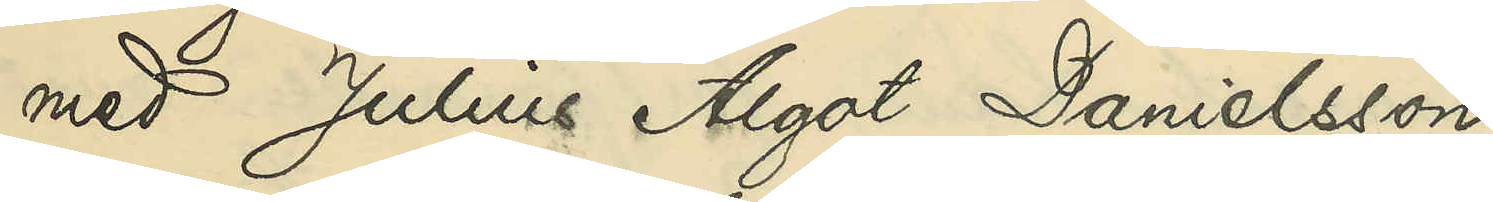med Julius Algot Danielsson 
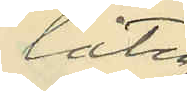låta
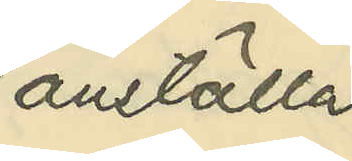anställa
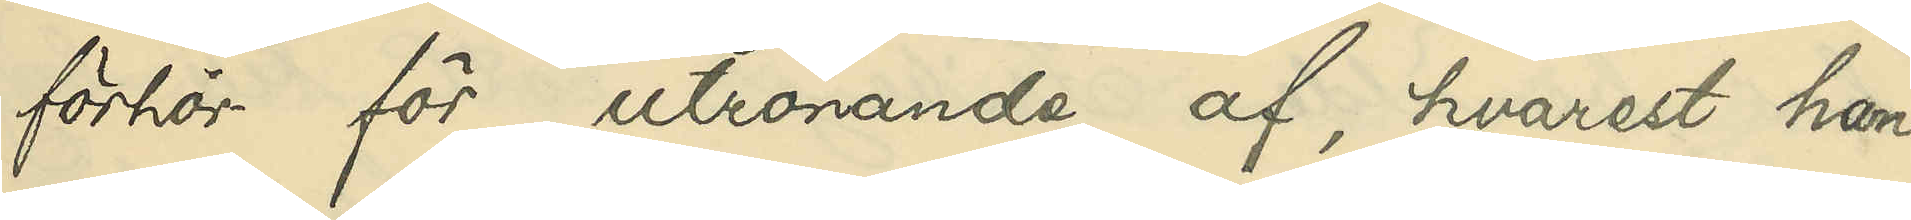förhör för utrönande af, hvarest han
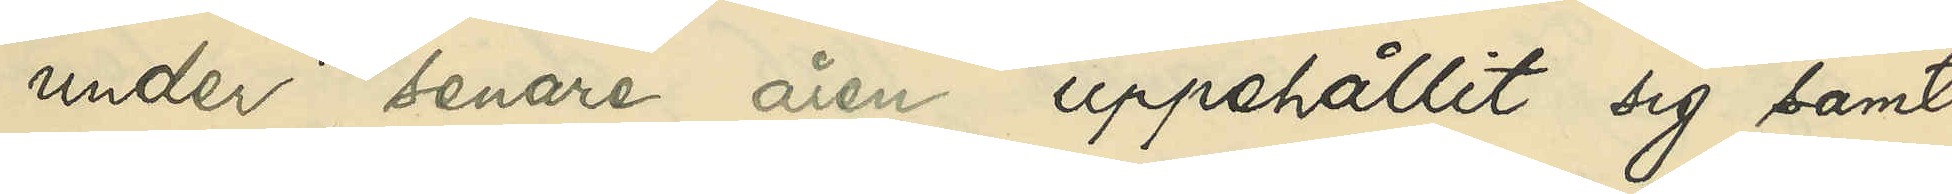under senare åren uppehållit sig samt
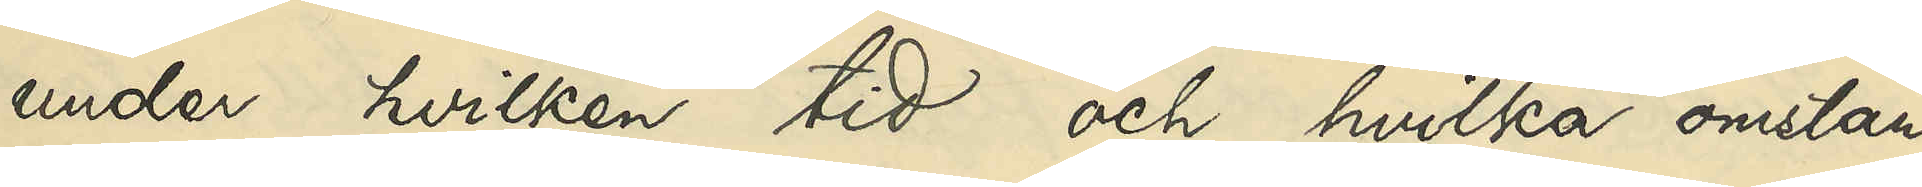under hvilken tid och hvilka omstän¬
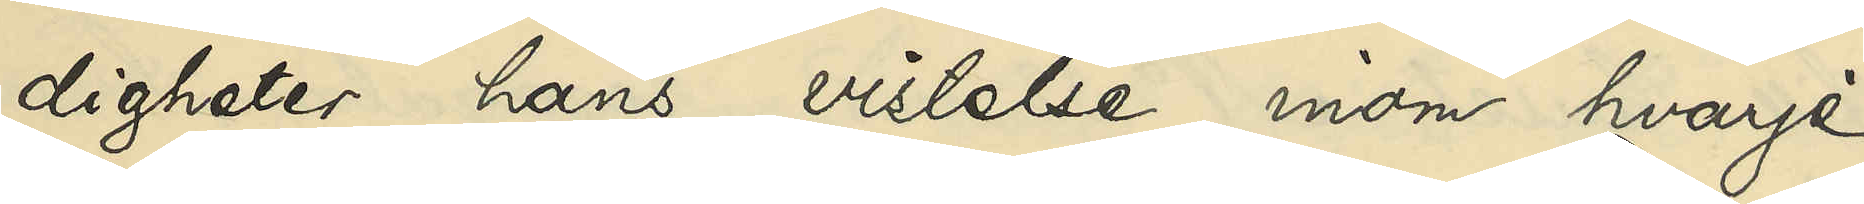digheter hans vistelse inom hvarje
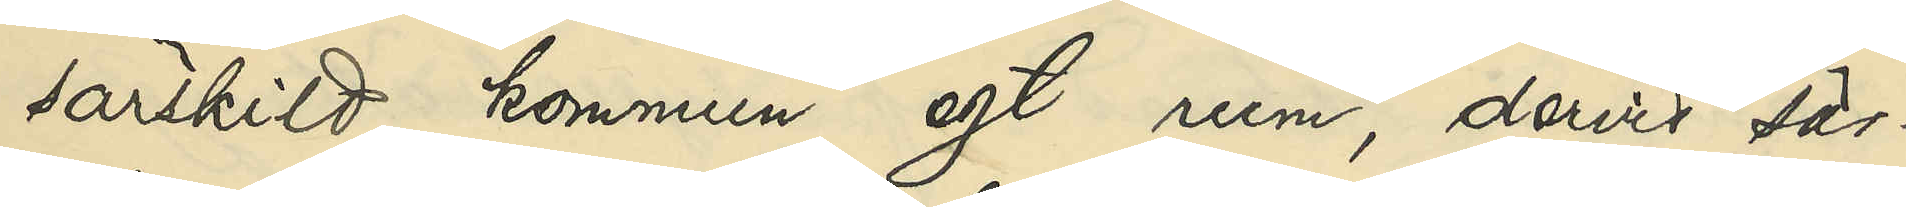särskild kommun egt rum, dervid sär¬
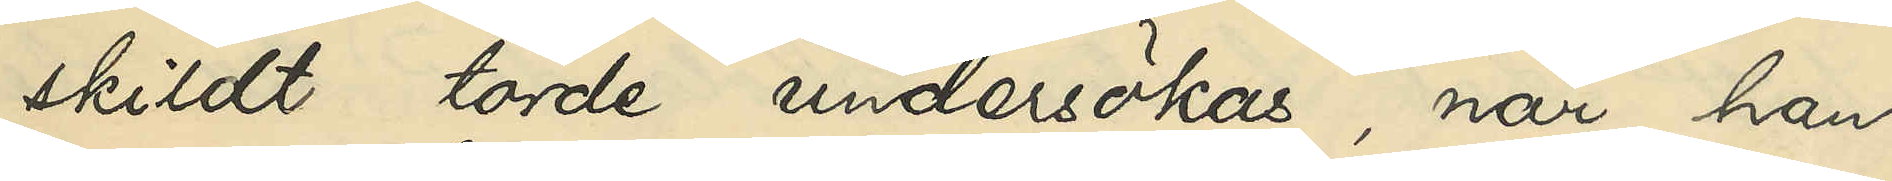skildt torde undersökas, när han
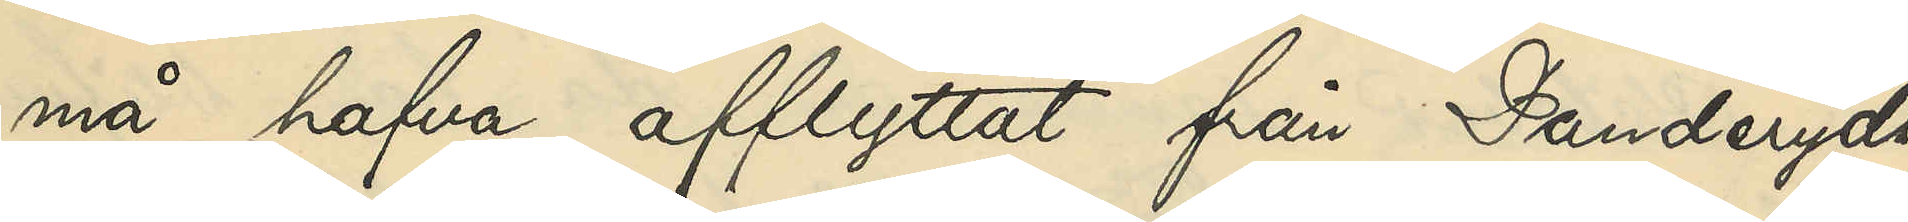må hafva afflyttat från Danderyds
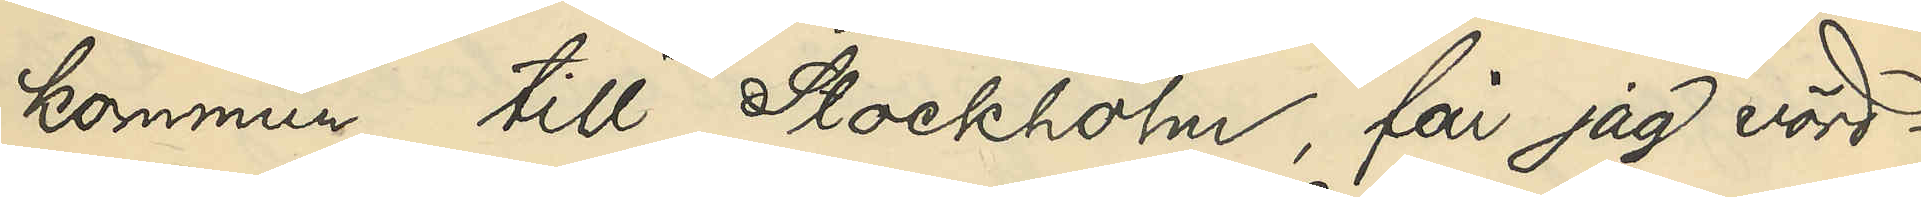kommun till Stockholm, får jag vörd¬
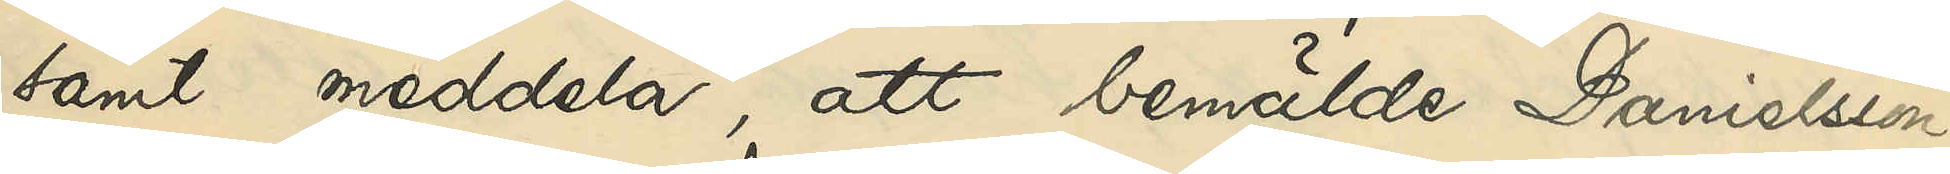samt meddela, att bemälde Danielsson,
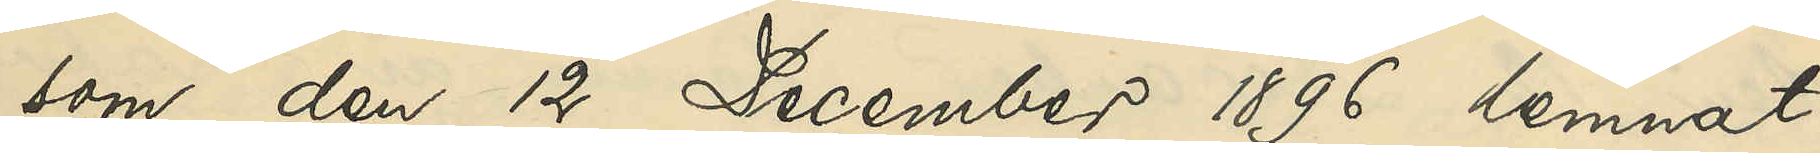som den 12 December 1896 lemnat
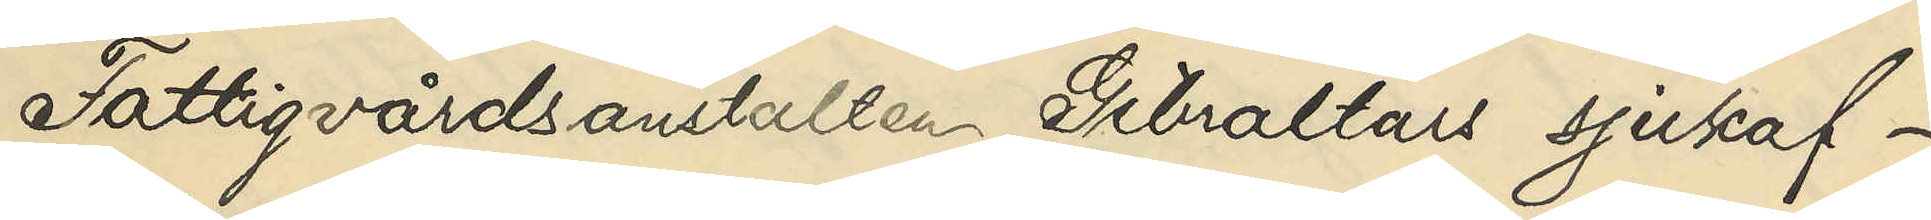Fattigvårdsanstalten Gibraltars sjukaf¬
